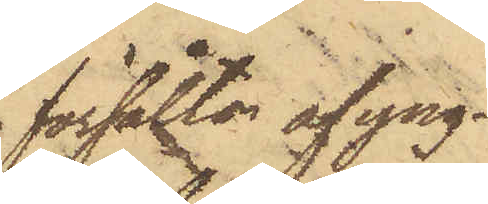försålts af yng¬
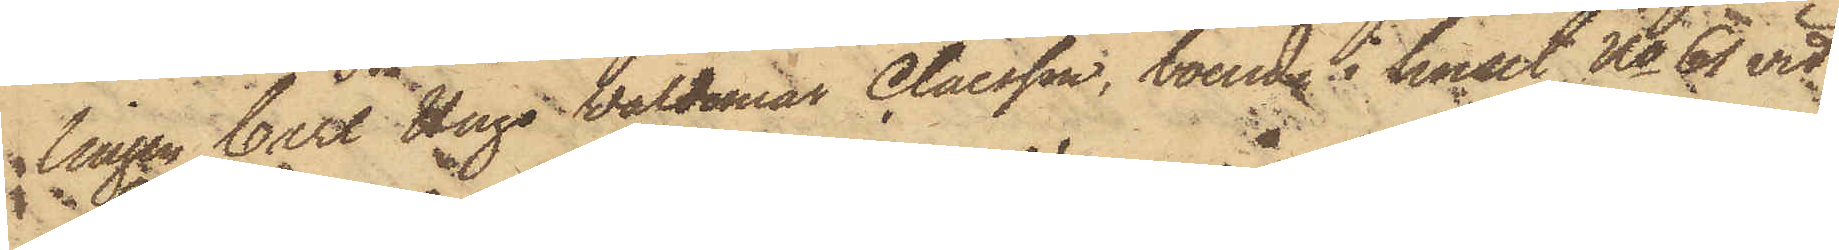lingen Carl Hugo Waldemar Claesson, boende i huset No 61 vid
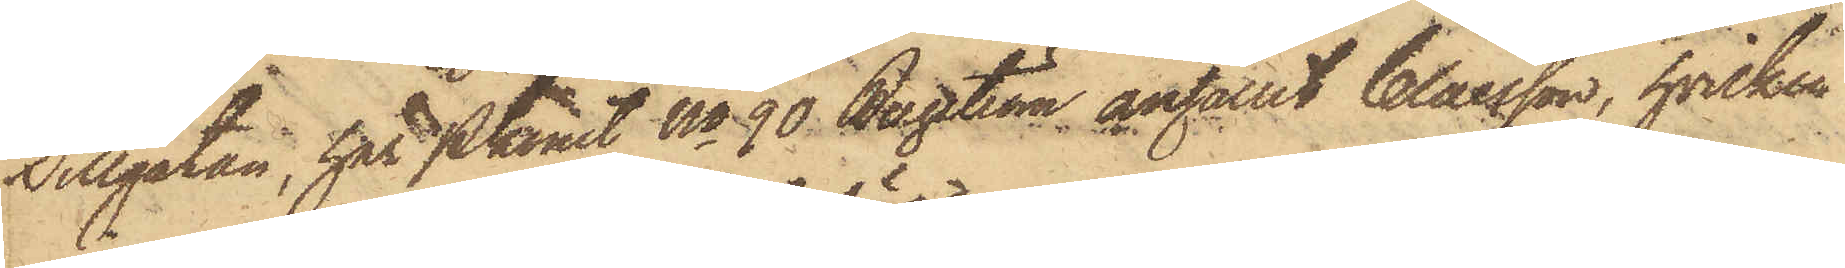Sillgatan, har Pkonst No 90 Bergström anhållit Claesson, hvilken
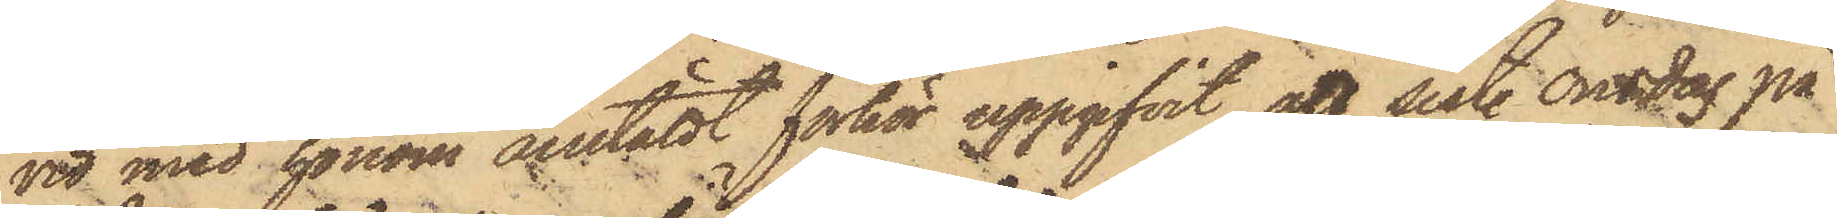vid med honom anstäldt förhör uppgifvit att sist. Onsdag på
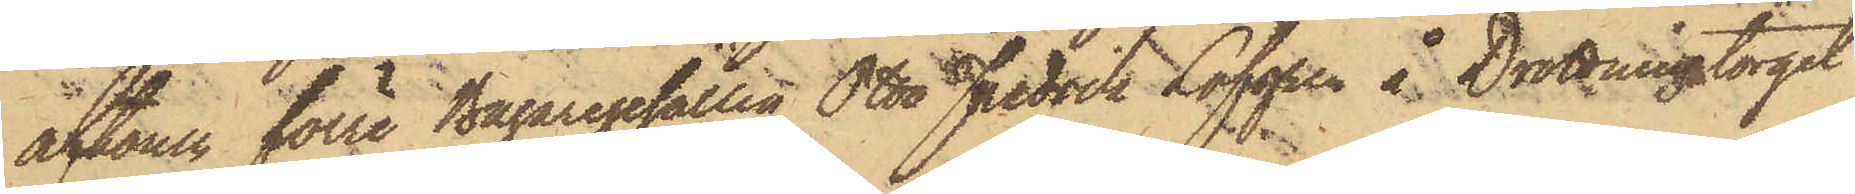aftonen förre Bagaregesällen Otto Fredrik Löfgren å Drottningtorget
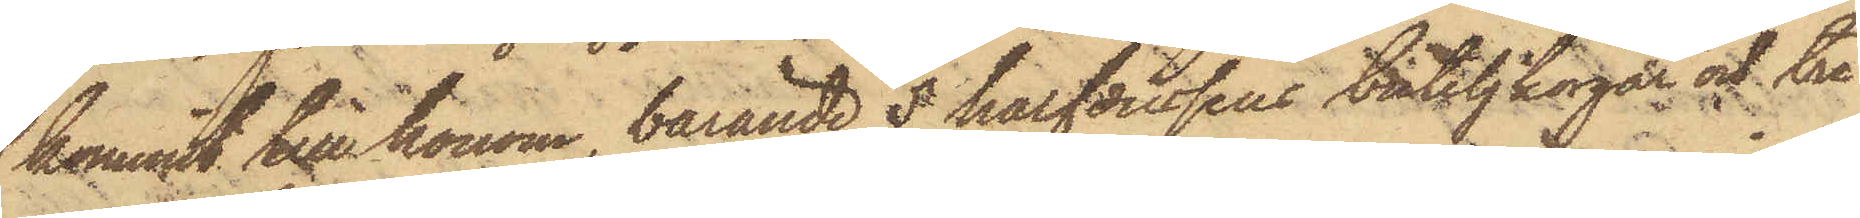kommit till honom, bärande 5 halfdussin buteljkorgar och tre
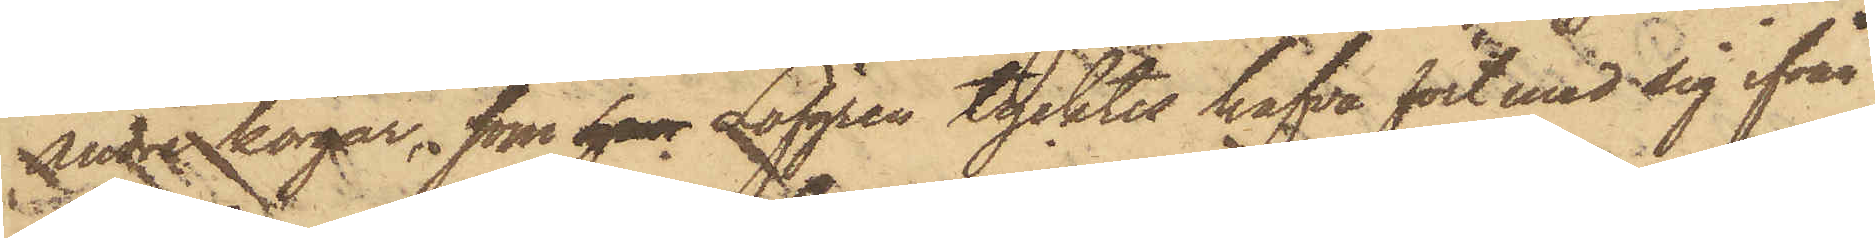andre korgar, som han Löfgren tycktes hafva fört med sig ifrån
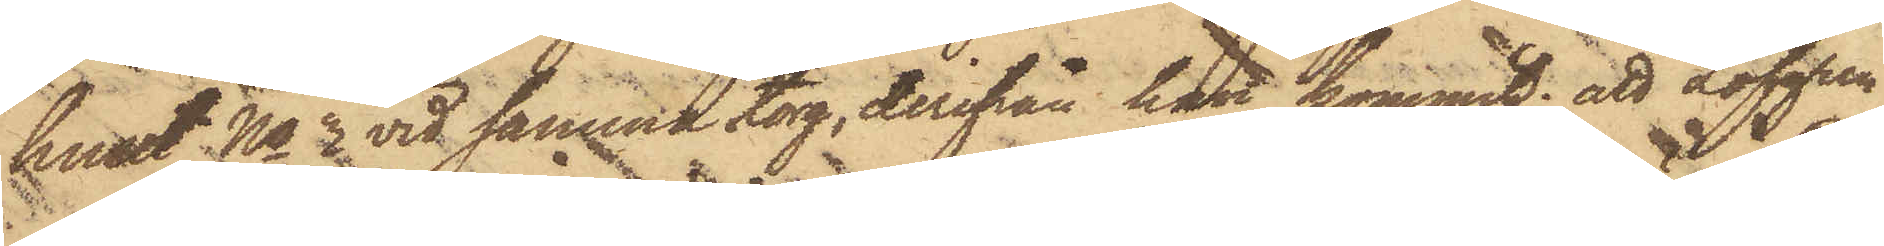huset No 3 vid samma torg, derifrån han kommit; att Löfgren
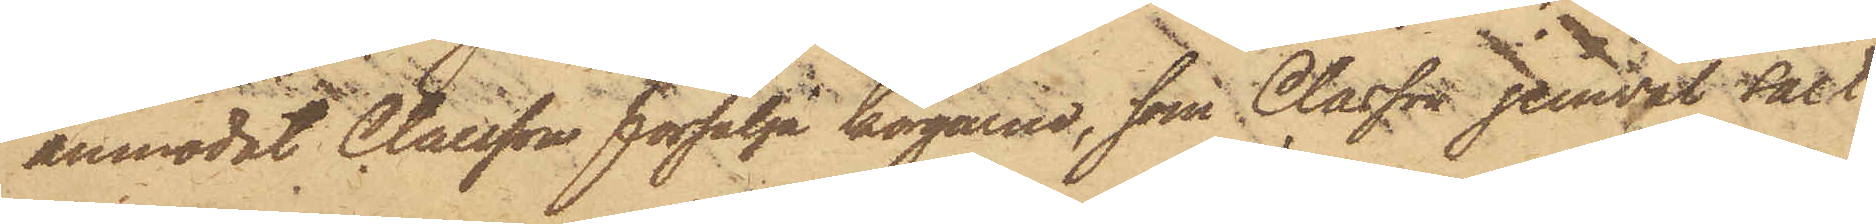anmodat Claesson försälja korgarna, som Claesson jemväl sålt
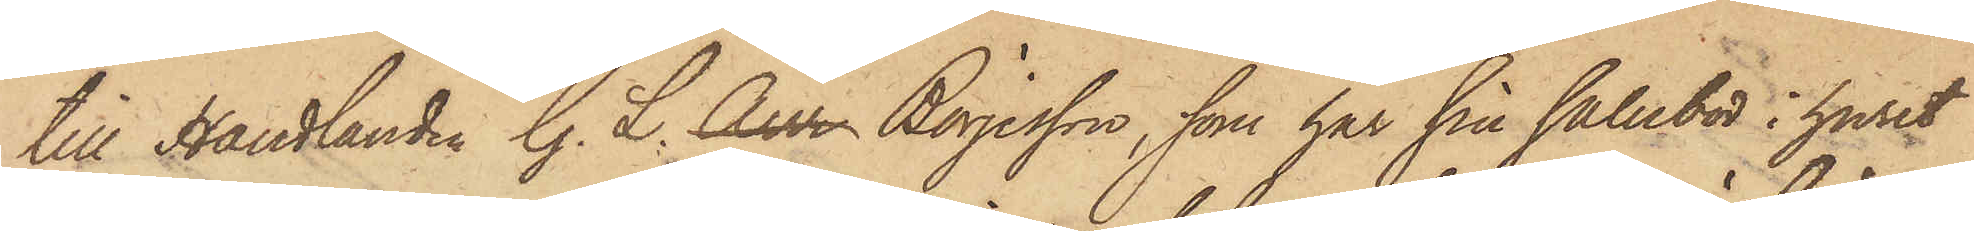till Handlanden G. L. Aur Börjesson, som har sin salubod i huset
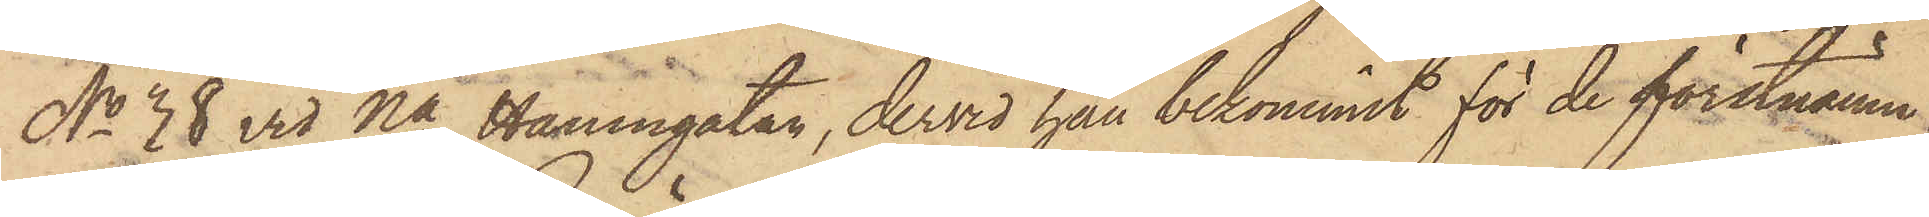No 38 vid Na Hamngatan, dervid han bekommit för de förstnämn¬
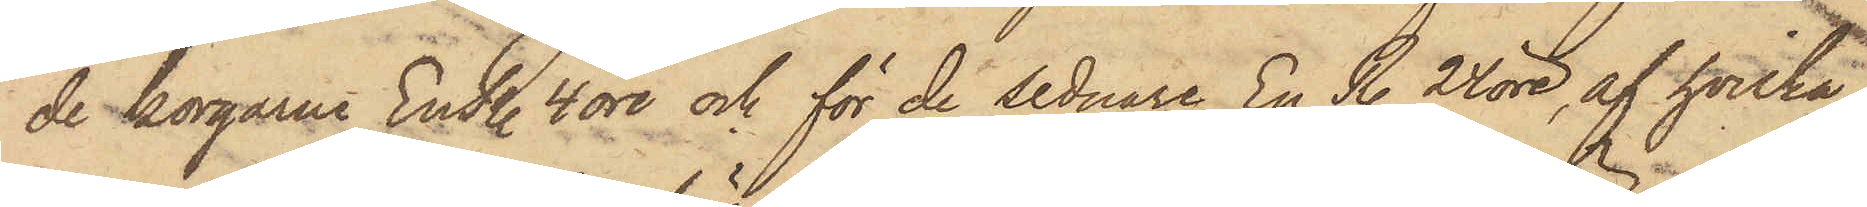de korgarne En R. 4 öre och för de sednare En R. 24 öre, af hvilka
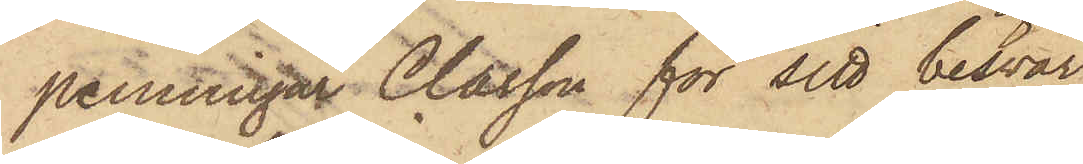penningar Classon för sitt besvär
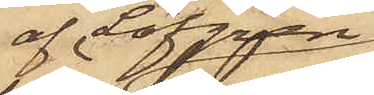af Löfgren
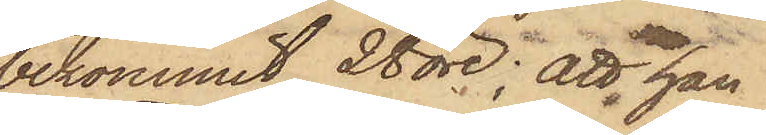bekommit 28 öre; att han
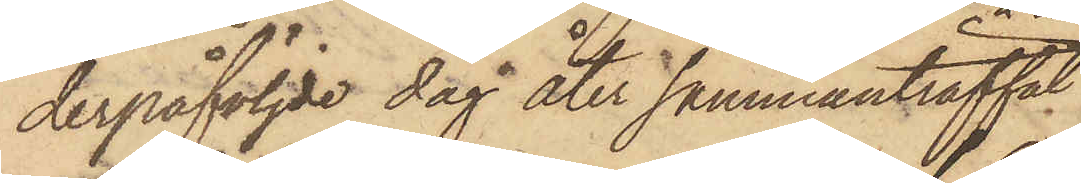derpåföljde dag åter sammanträffat
